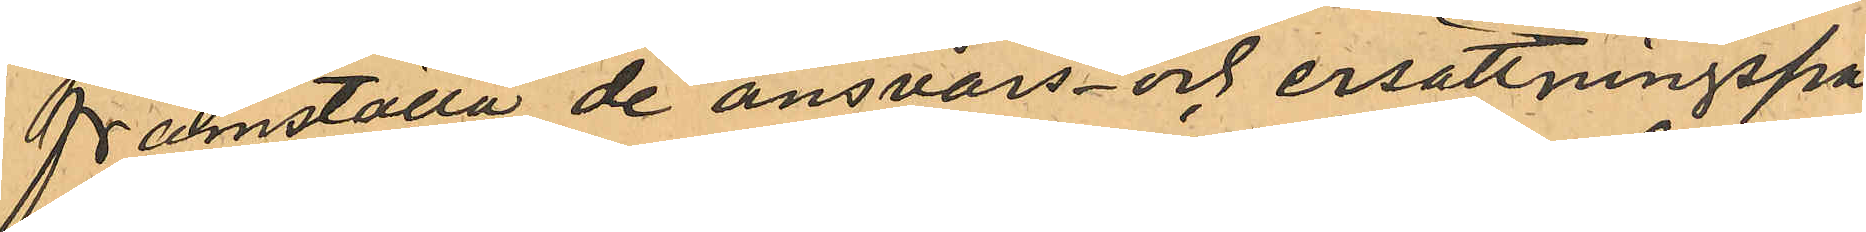framställa de ansvars- och ersättningspå¬
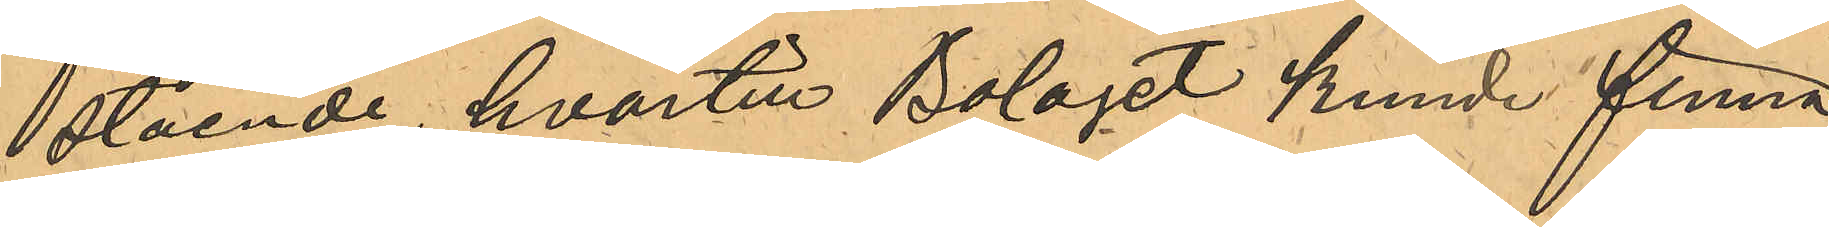stående, hvartill Bolaget kunde finna
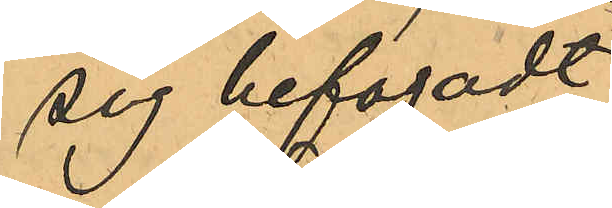sig befogadt.
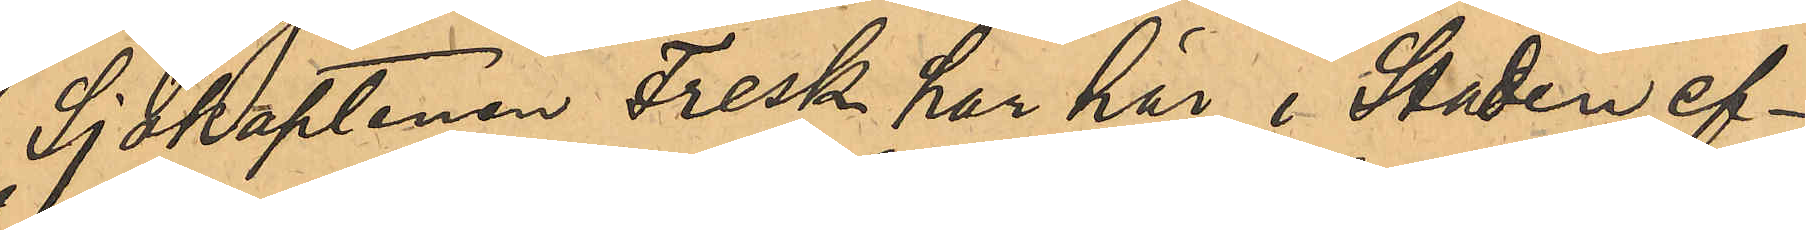Sjökaptenen Fresk har här i Staden ef¬
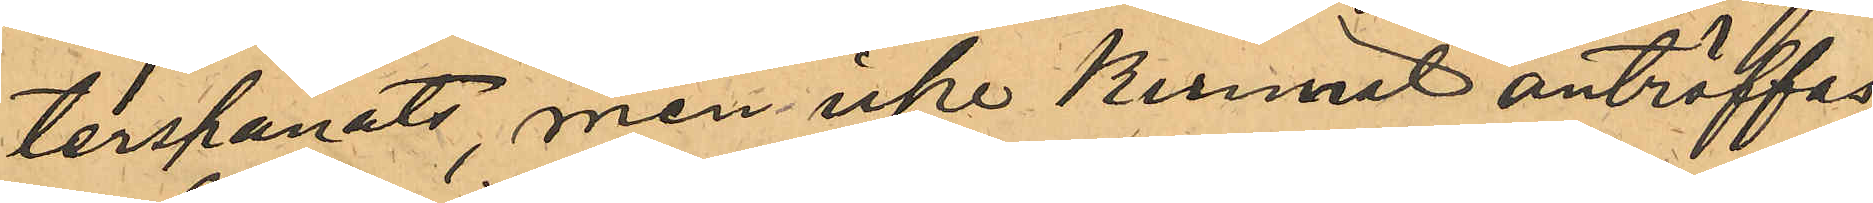terspanats, men icke kunnat anträffas;
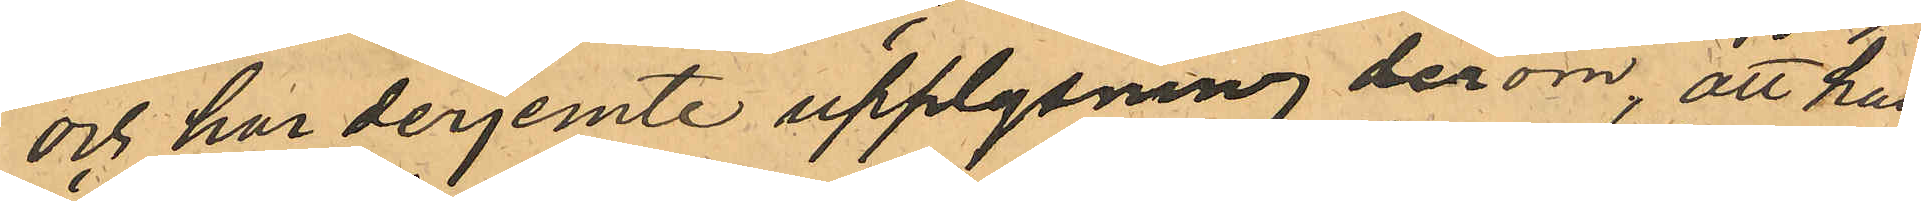och hur derjemte upplysning derom, att han
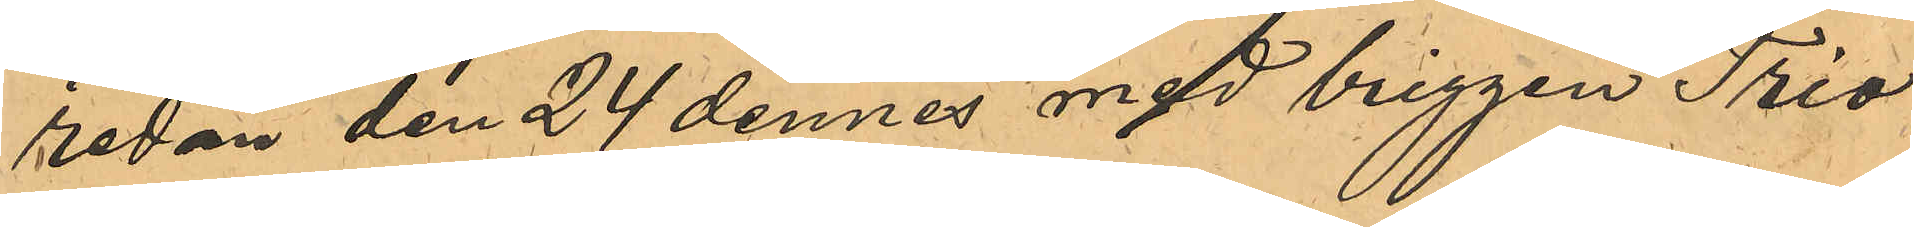redan den 24 dennes med briggen "Trio"
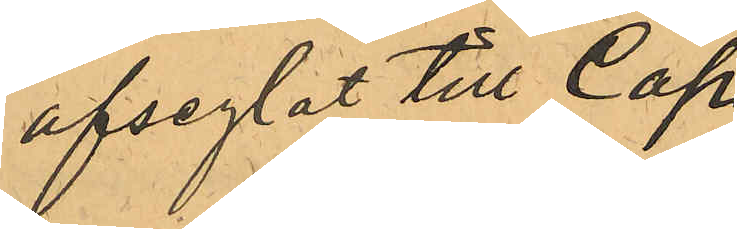afseglat till Cap.
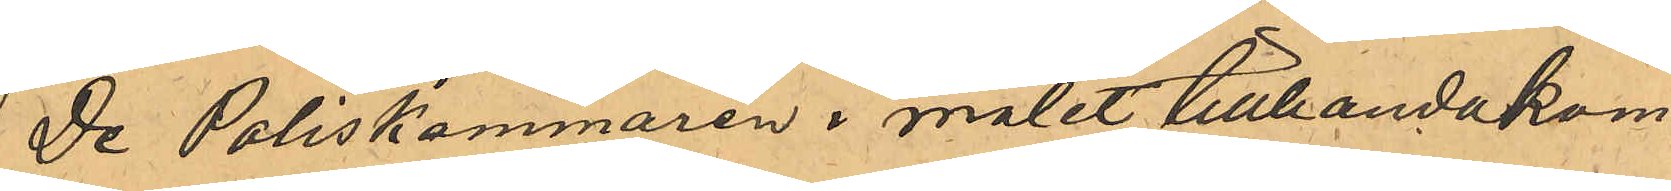De Poliskammaren i målet tillhandakom¬
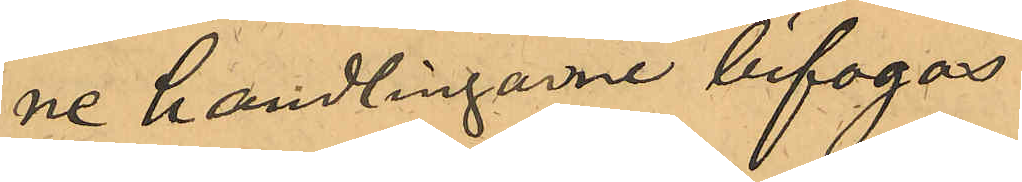ne handlingarne bifogas.
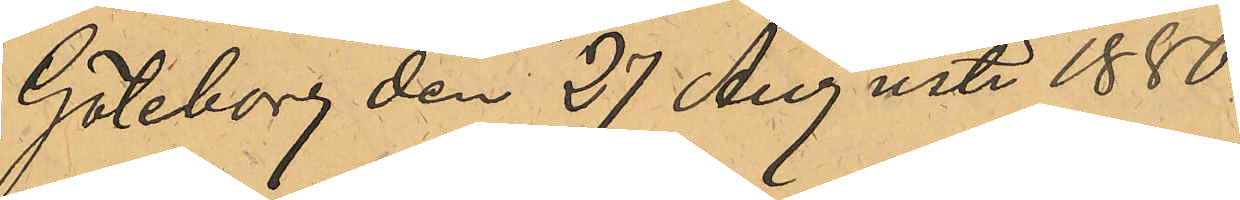Göteborg den 27 Augusti 1880.
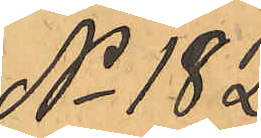No 182
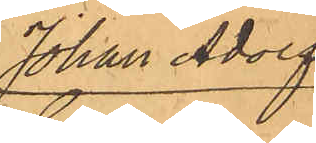Johan Adolf
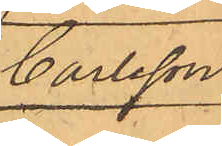Carlsson.
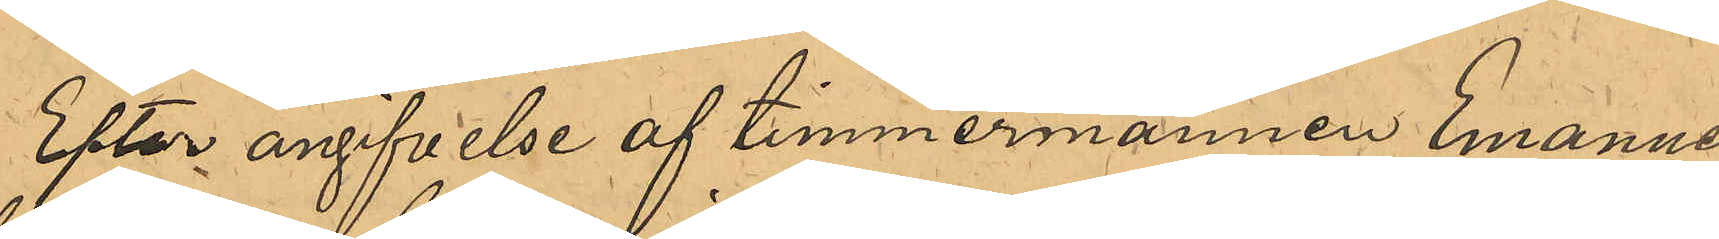Efter angifvelse af timmermannen Emanuel
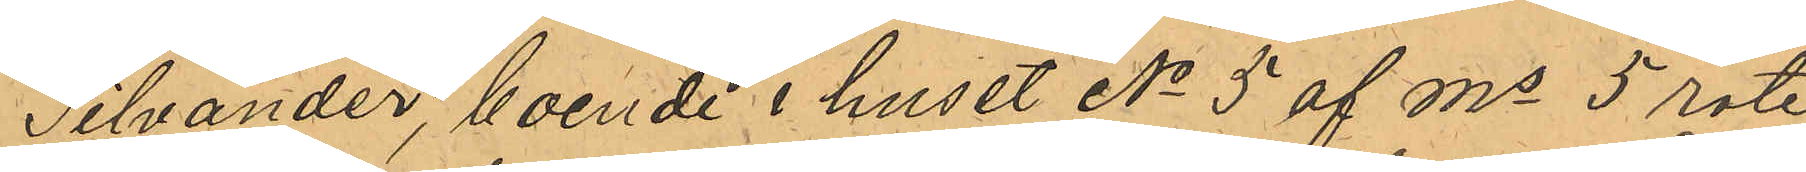Silvander, boende i huset No 5 af Ms 5 rote,
